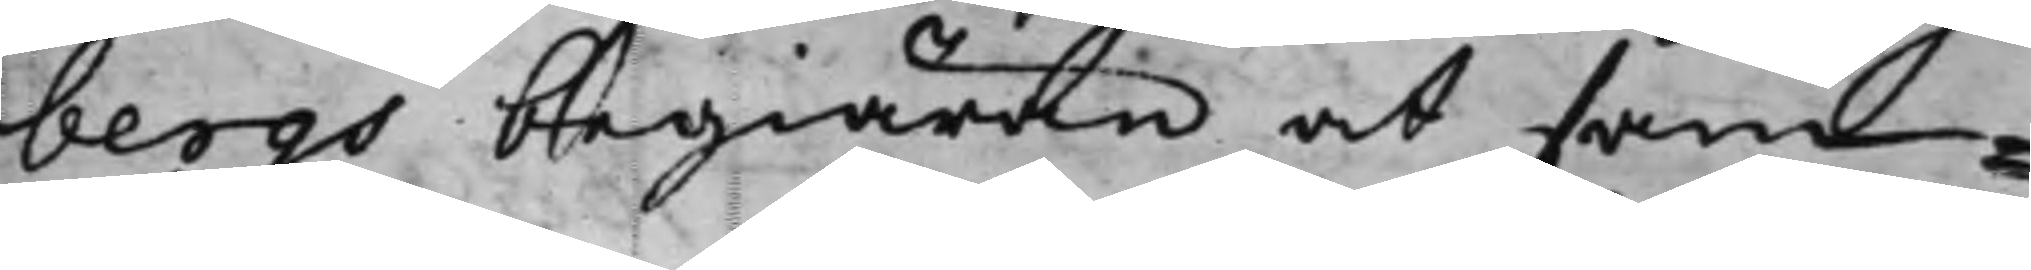bergs begiäran at sam¬
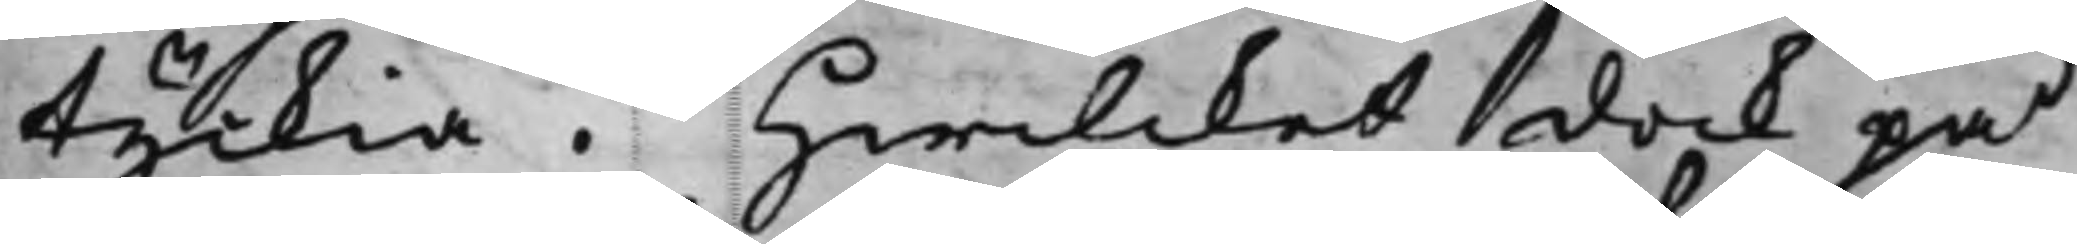tyckia. Hwilcket dock på
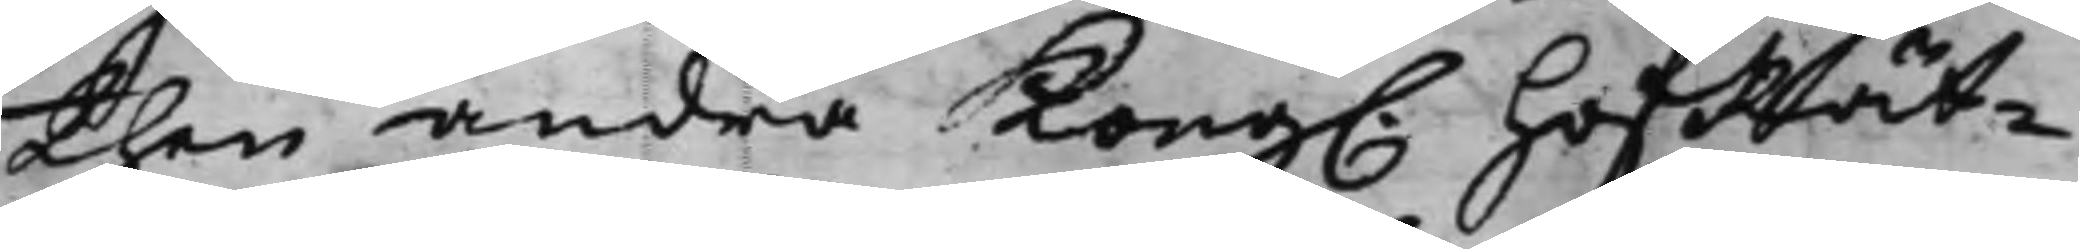then andra Kong. HofRät¬
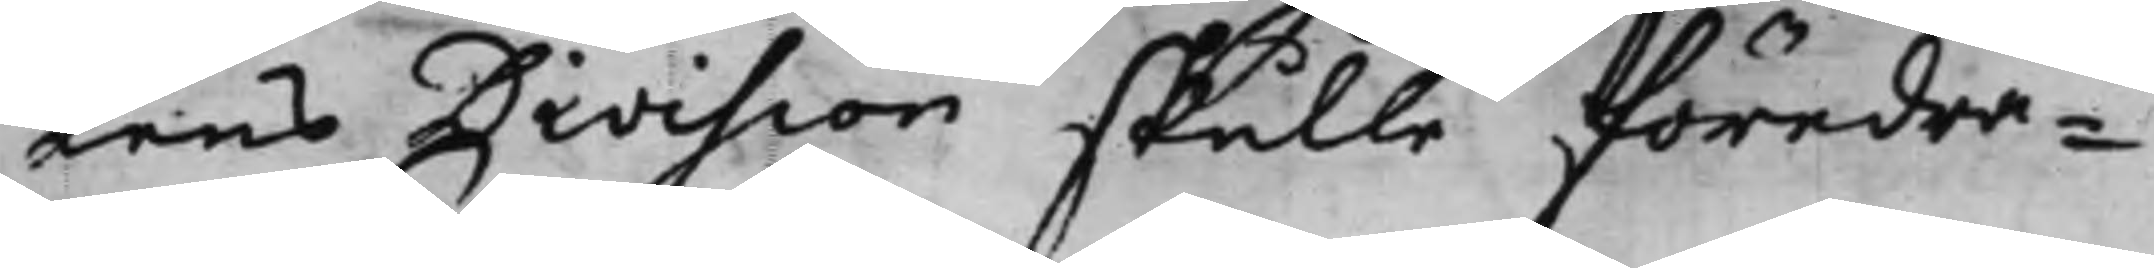tens Division skulle föredra¬
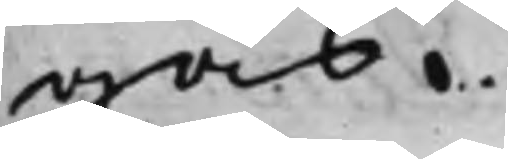gas.
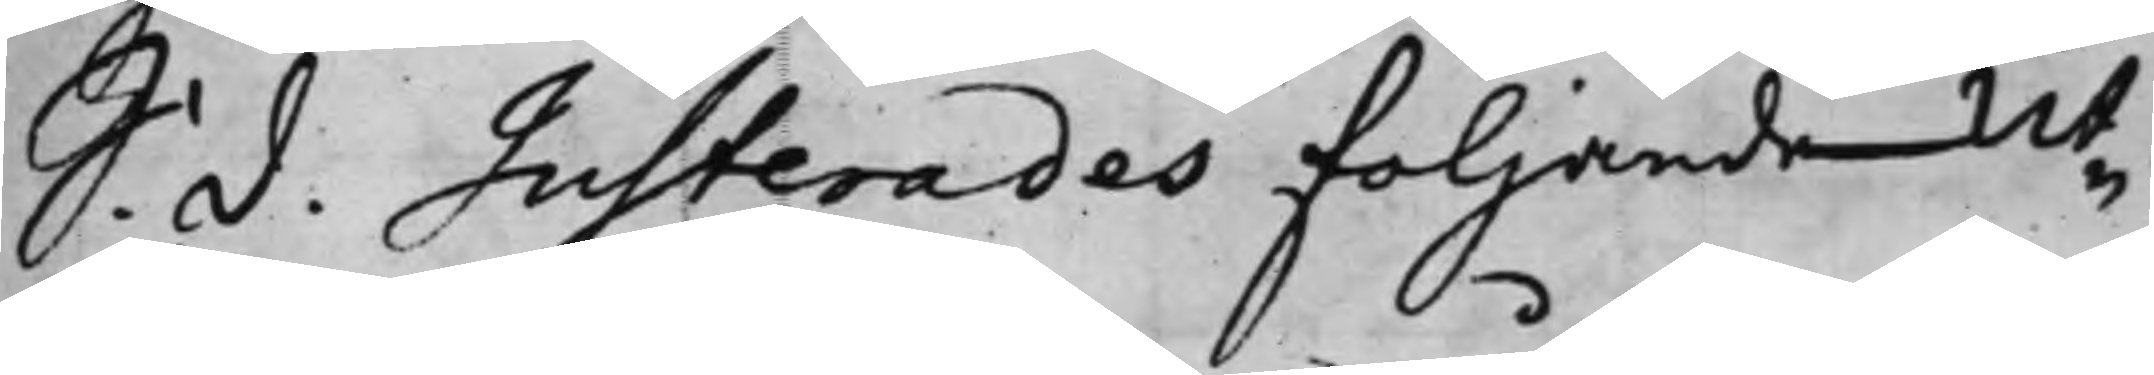S. d. Justerades följande Ut¬
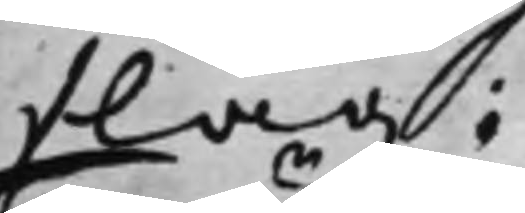slag:
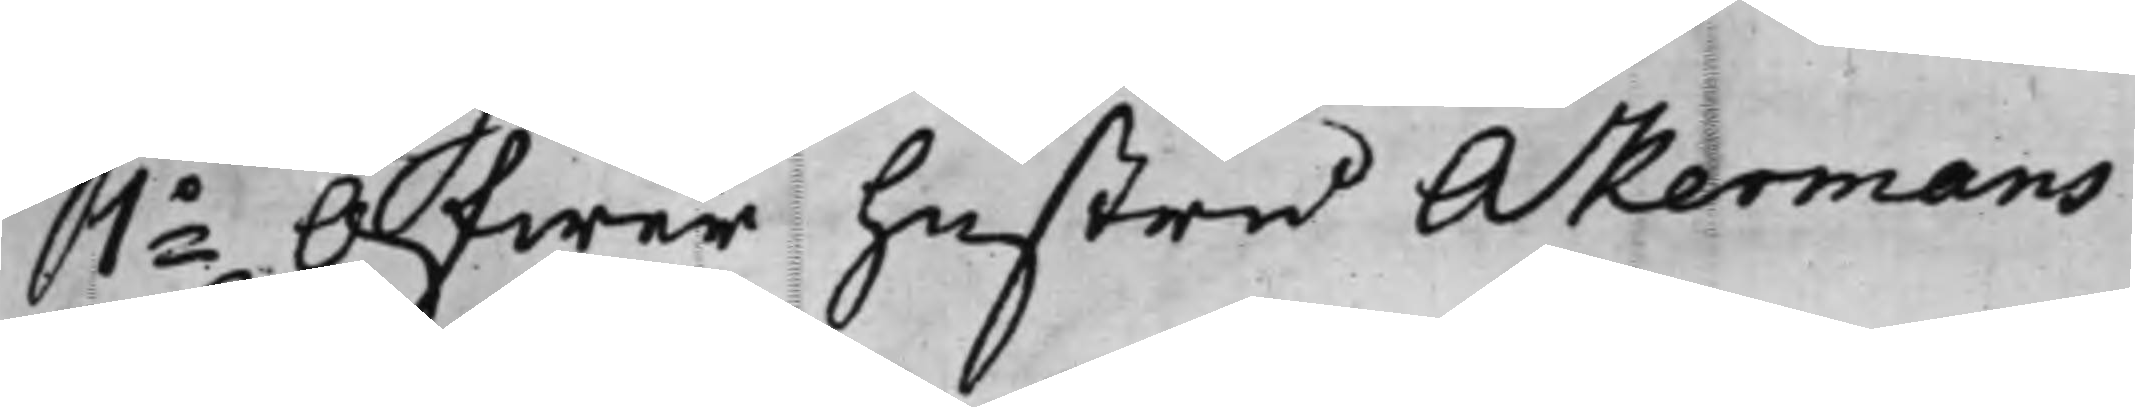1o Öfwer hustru Åkermans
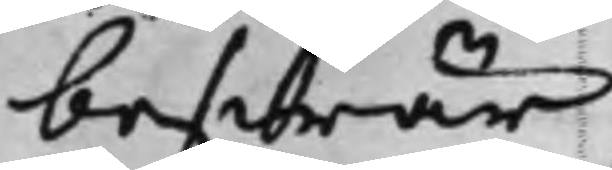beswär.
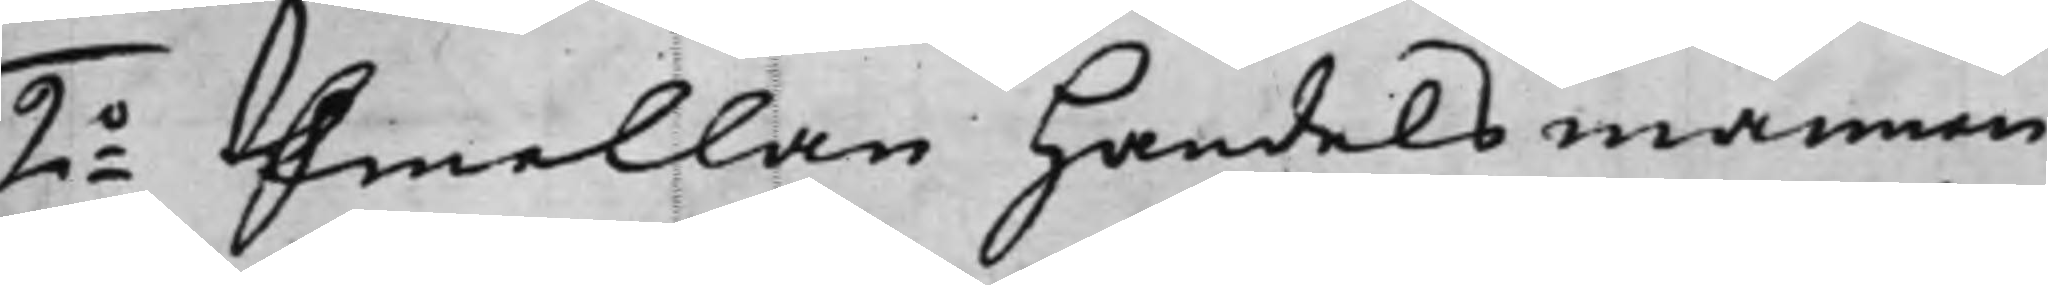2o Emellan Handelsmannen
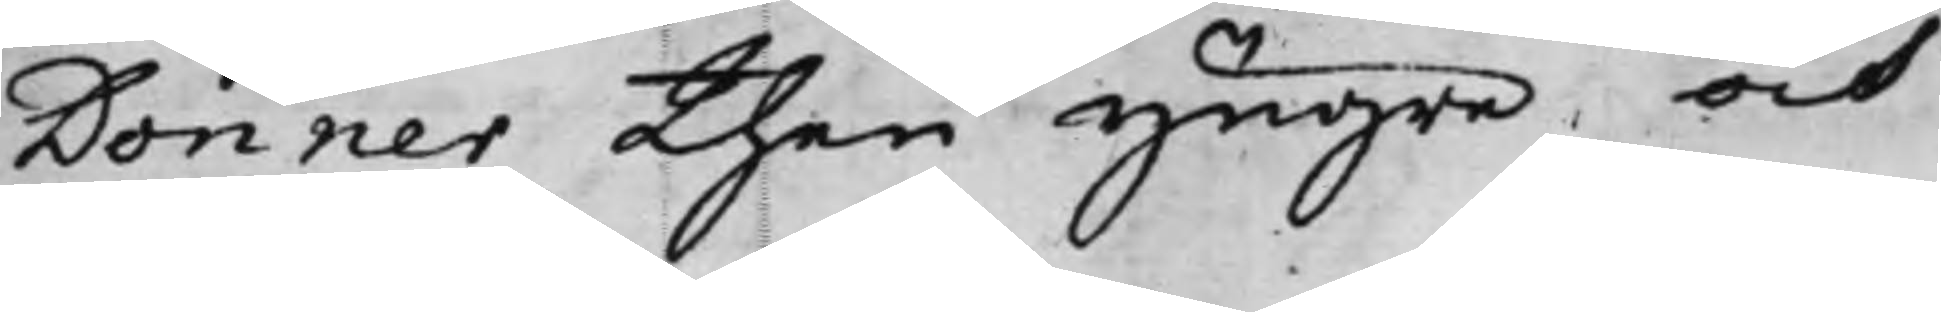Donner then yngre och
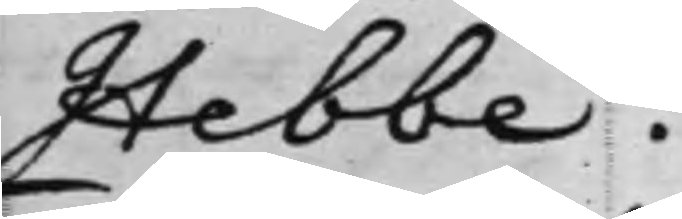Hebbe.
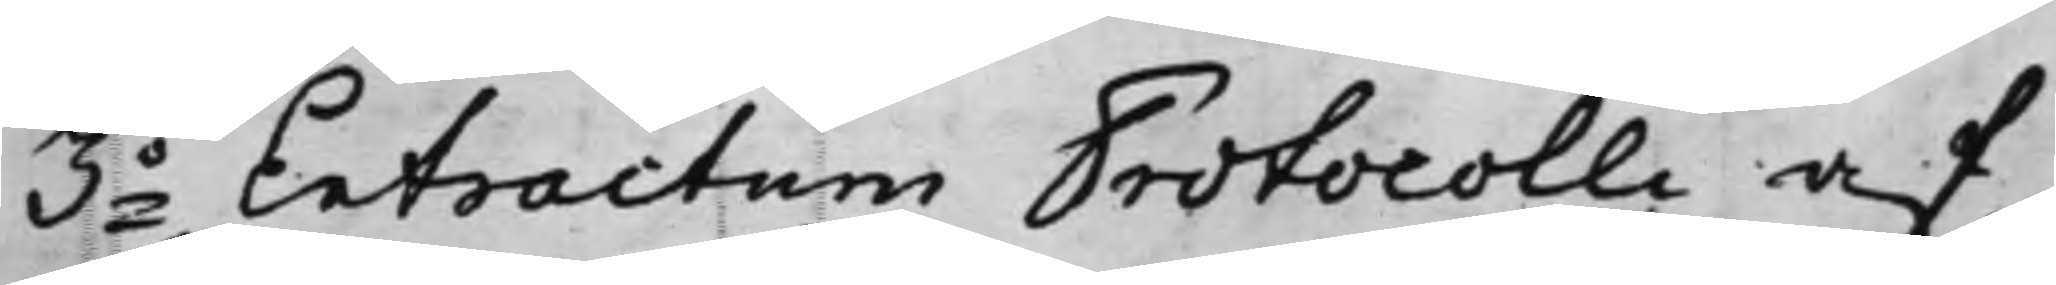3o Extractum Prdtocolli af
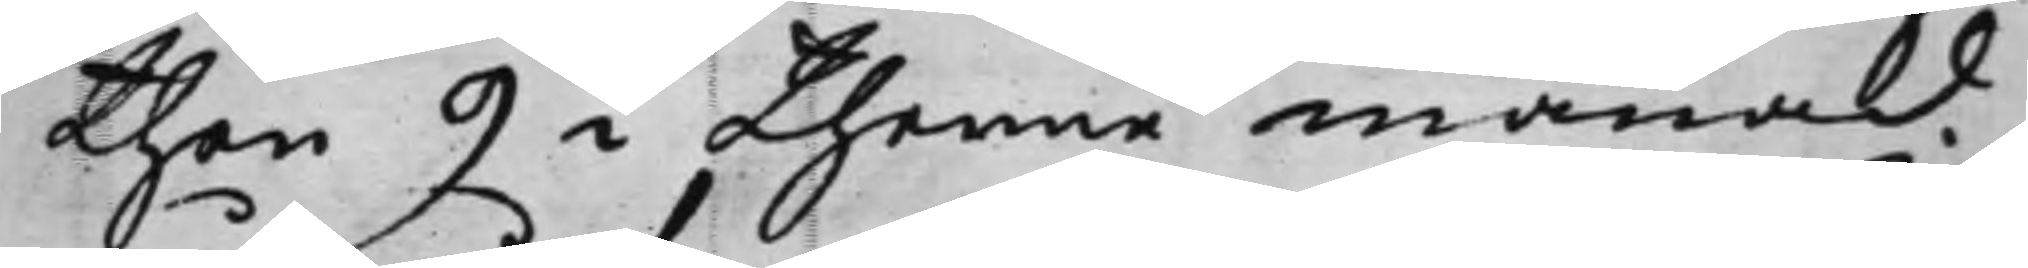then 9 i thenne månad
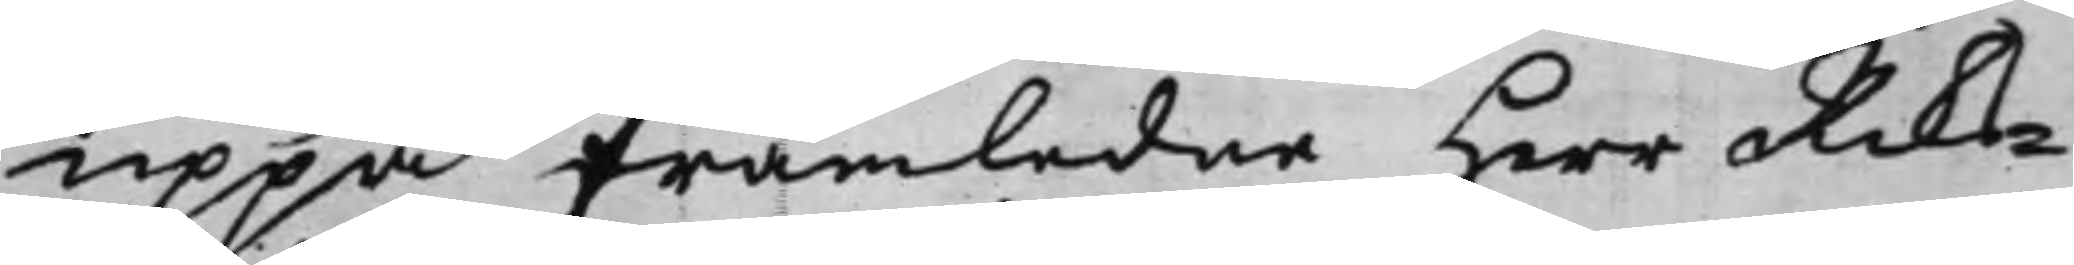uppå framledne Herr Riks¬
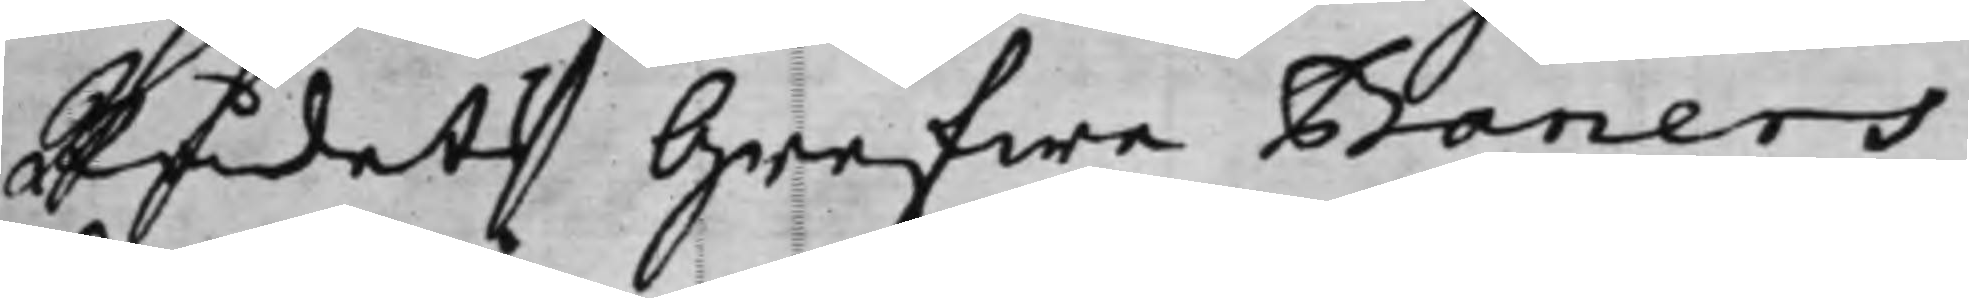Rådet Grefwe Baners
